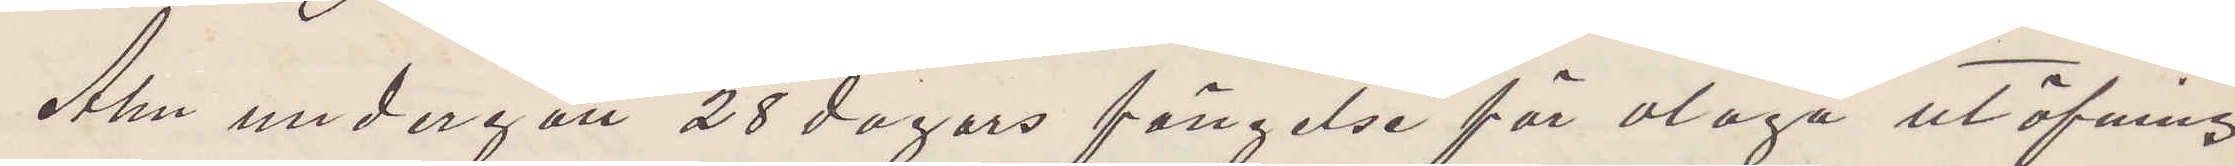Alm undergått 28 dagars fängelse för olaga utöfning
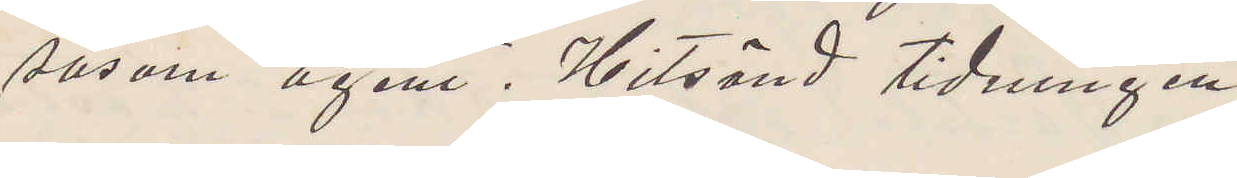såsom agent. Hitsänd tidningen.
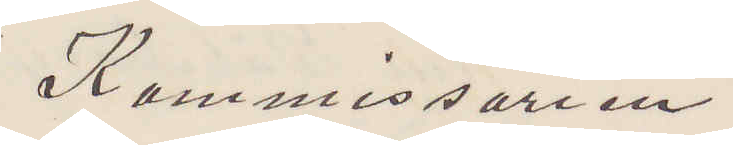Kommissarien
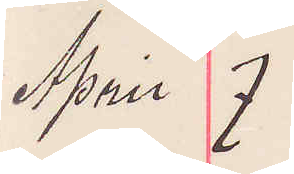April 7
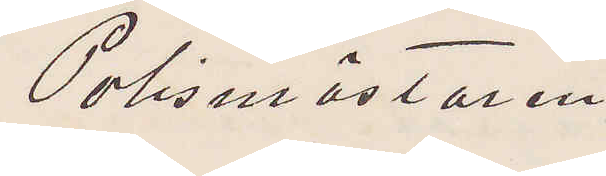Polismästaren
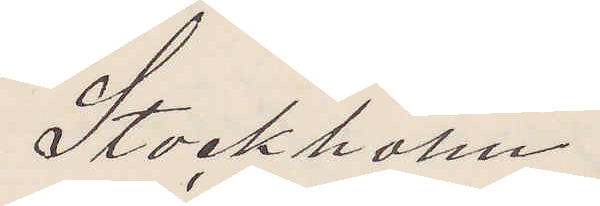Stockholm.
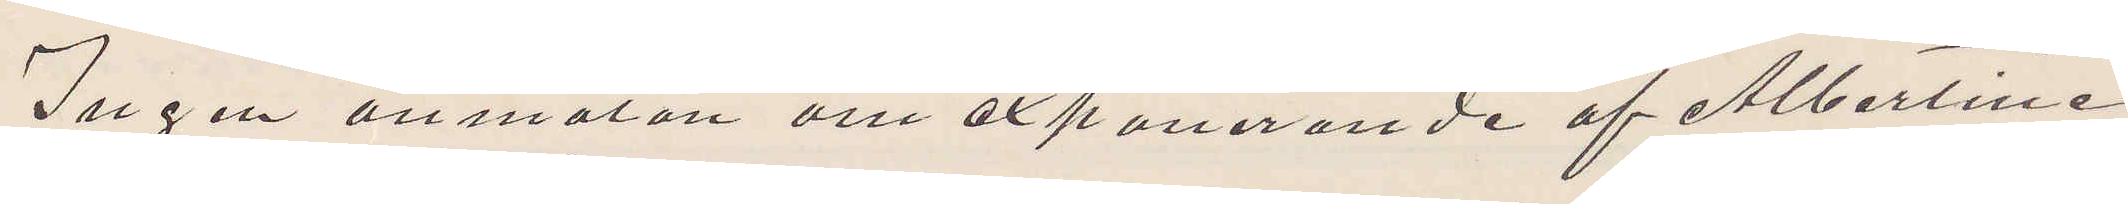Ingen anmälan om exponerande af Albertine
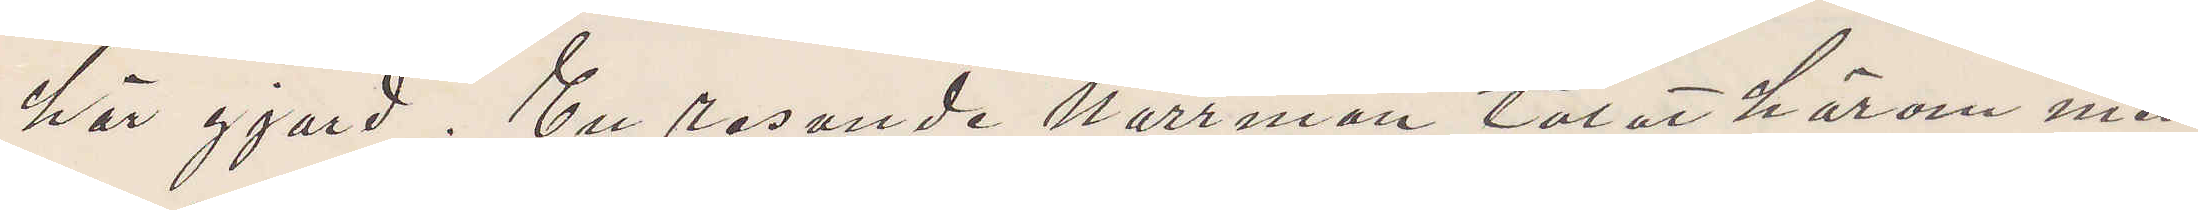här gjord. En resande norrman talat härom med
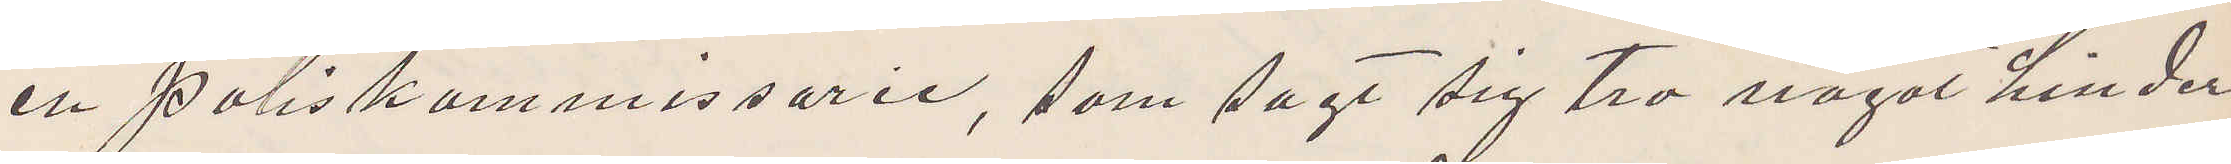en Poliskommissarie, som sagt sig tro något hinder
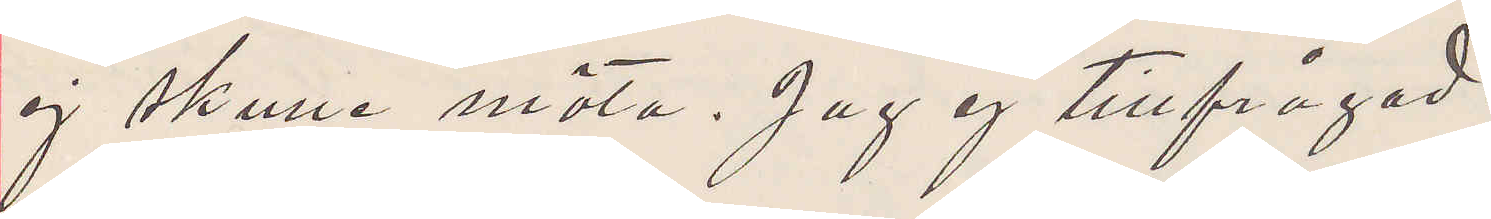ej skulle möta. Jag ej tillfrågad.
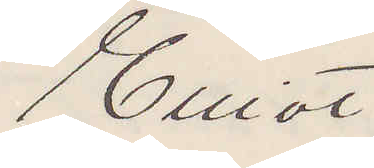Elliot
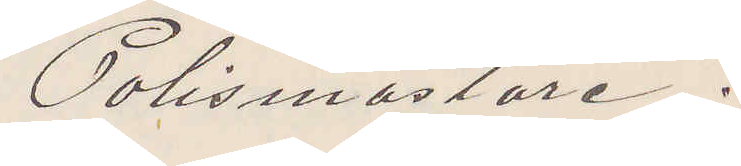Polismästare.
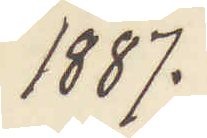1887.
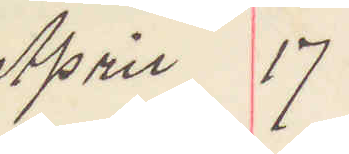April 17
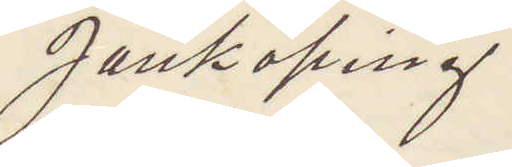Jönköping
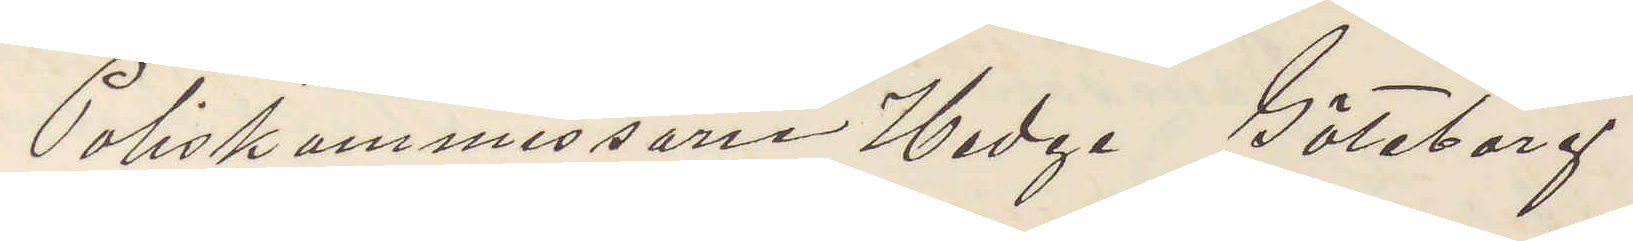Poliskommissarie Hedge Göteborg
